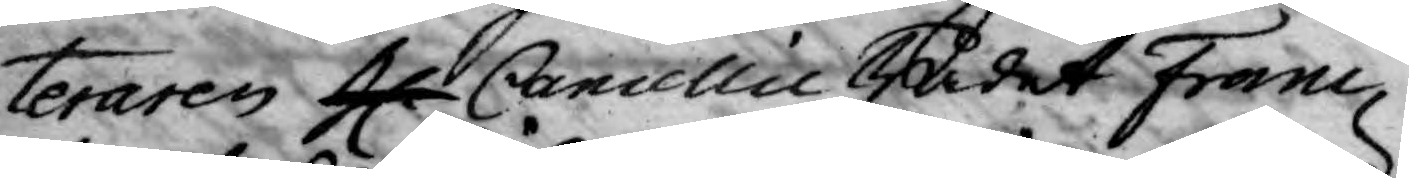teraren H. Cancellie Rådet Franc
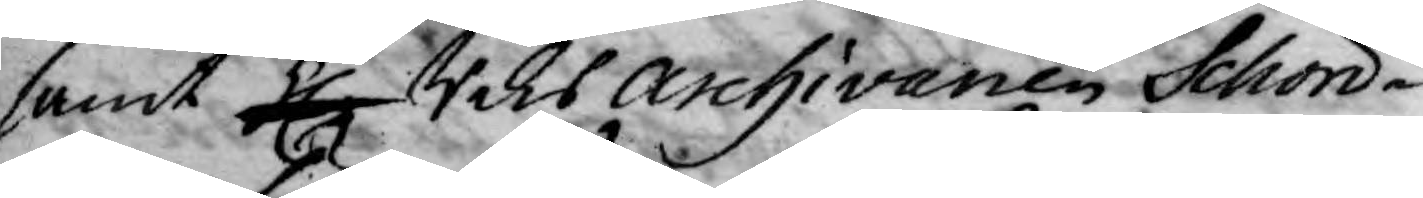samt H. Riksarchivarien Schon¬
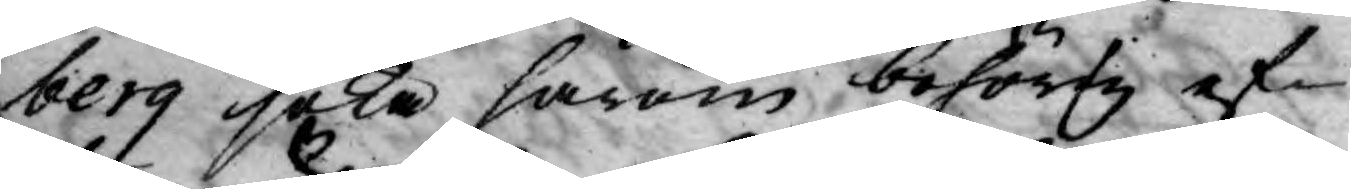berg söka härom behörig ef¬
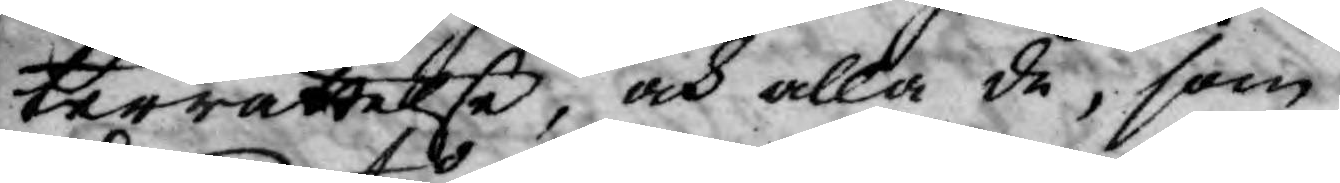terrättelse, och alla de, som
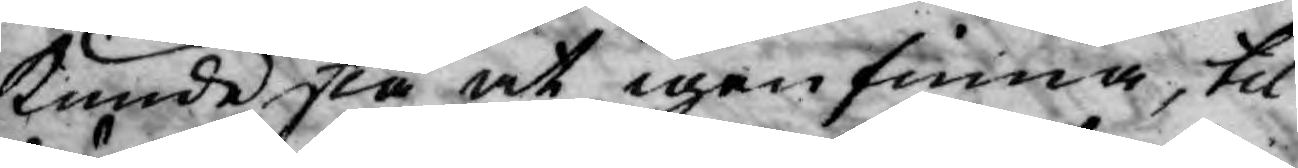kunde stå at igenfinna, til
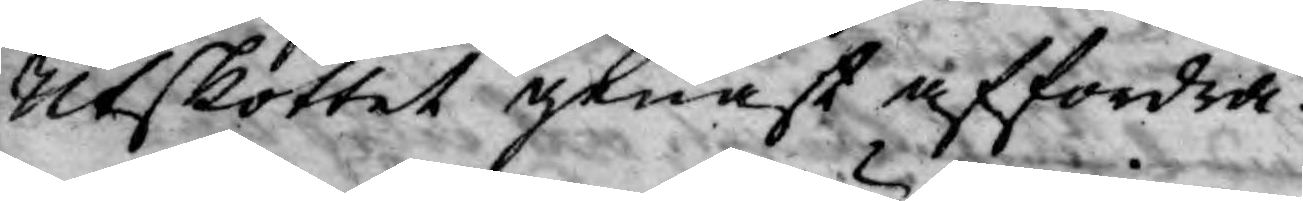Utskottet genast affordra.
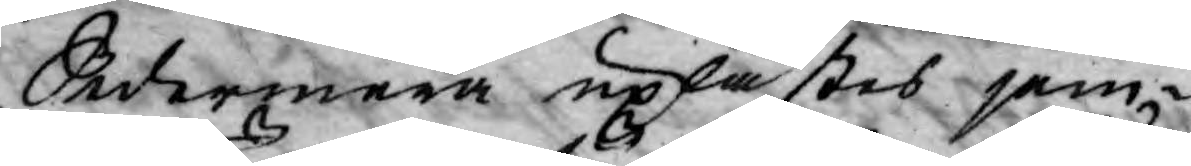Sedermera uplästes jem¬
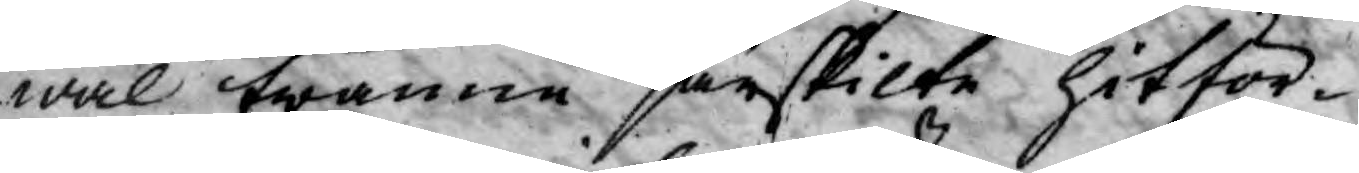wäl twänne särskilte hitför¬
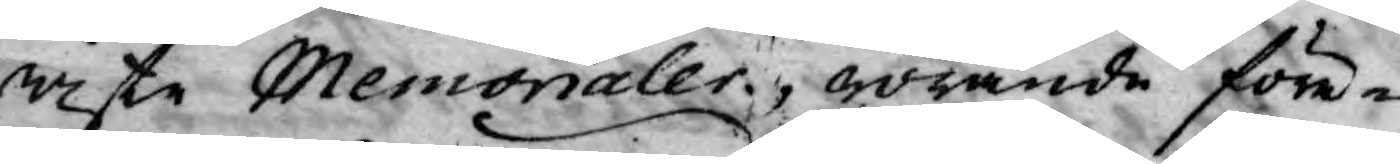wiste Memorialer, rörande före¬
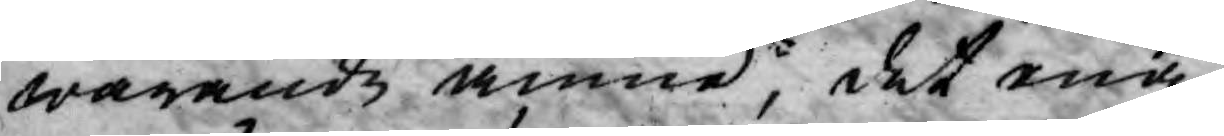warande ämne, det ena
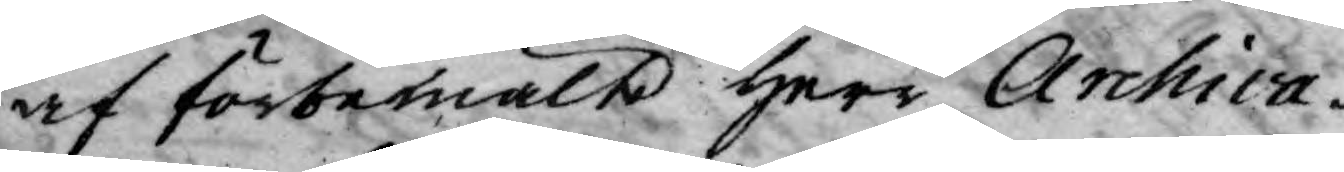af förbemälte Herr Archiva¬
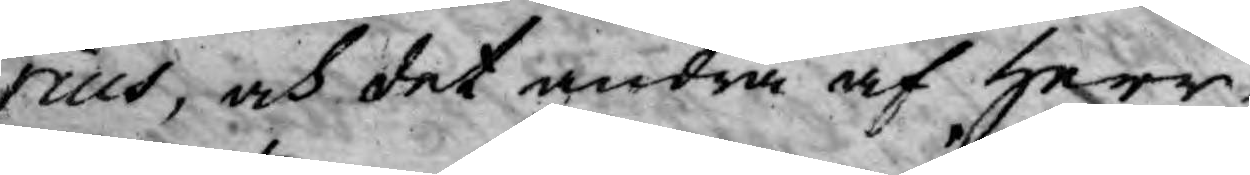rius, och det andra af Herr
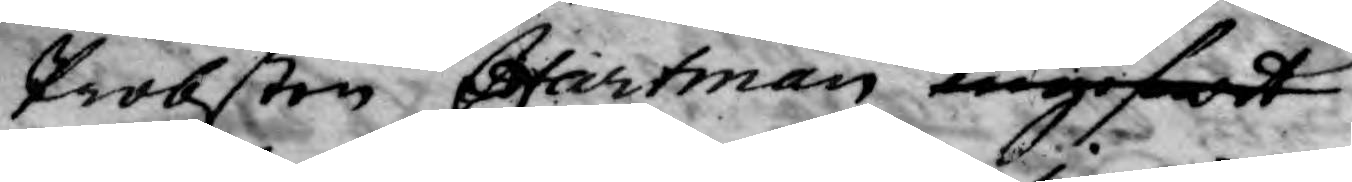Probsten Hartman ingifwit.
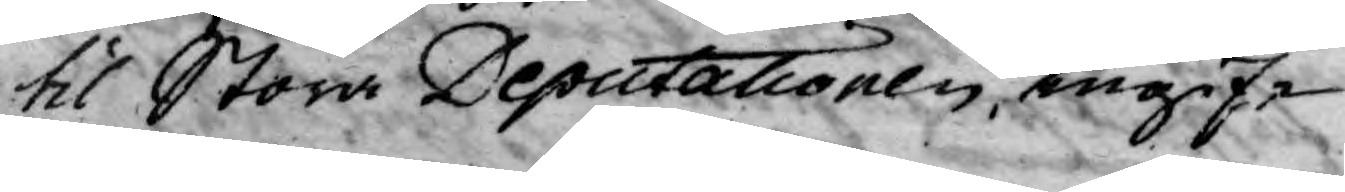til Stora Deputationen, ingif¬
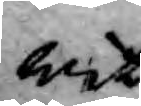wit.
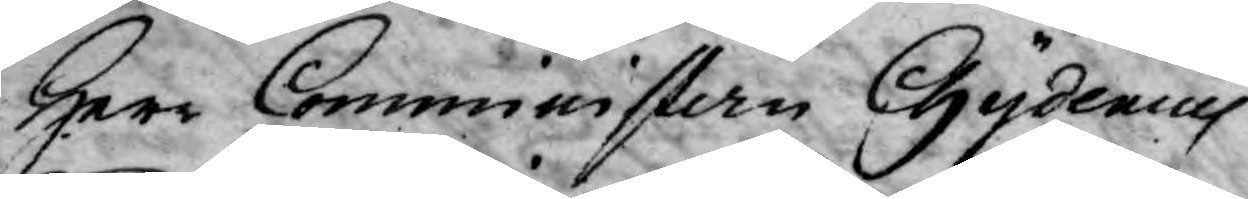Herr Comministern Chydenius
